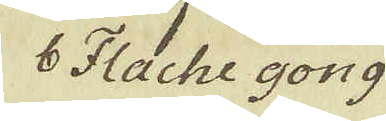b Fache gong
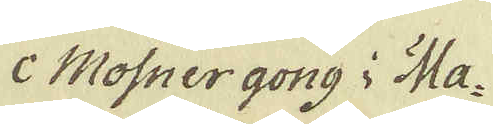c Mosnergong i Ma-
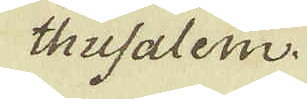thusalem.
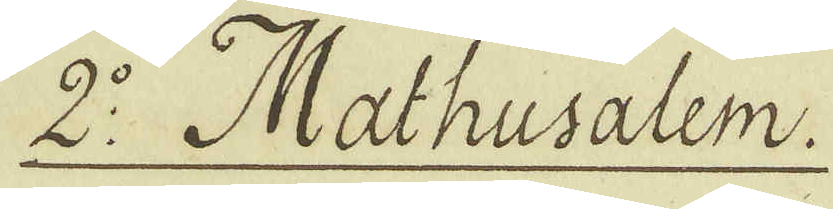2:o Mathusalem.
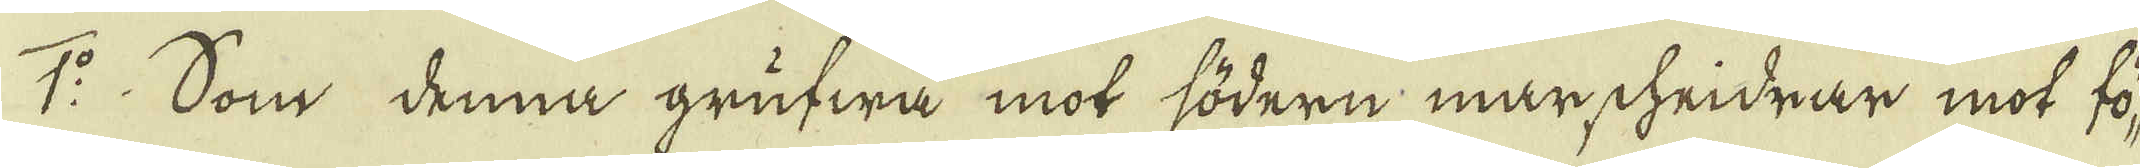1:o Som denna grufwa mot södern mar chridrar mot fö-
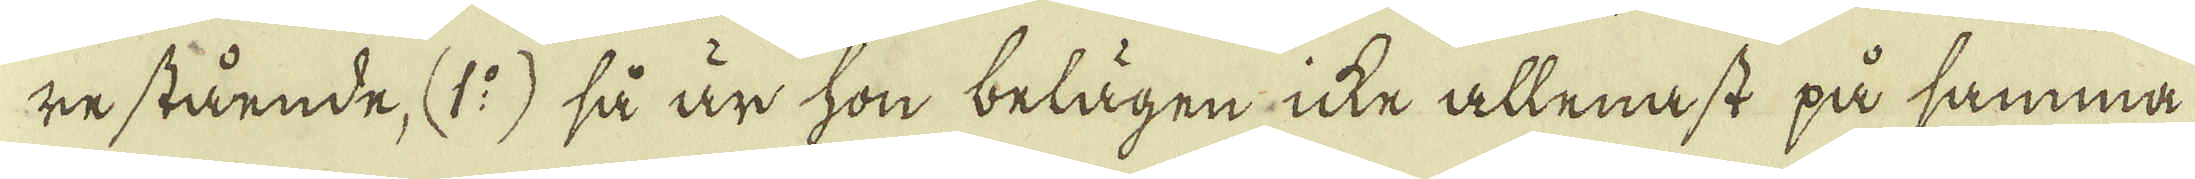re stående, (1:o) så är hon belägen icke allenast på samma
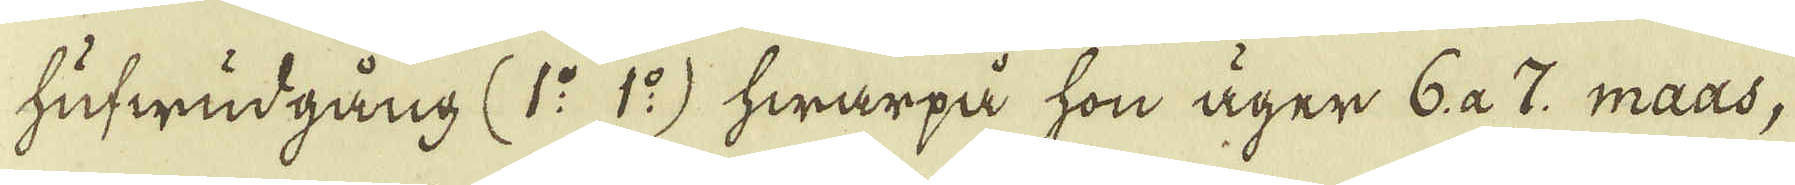hufwudgång (1:o 1:o) hwarpå hon äger 6 a 7. maas,
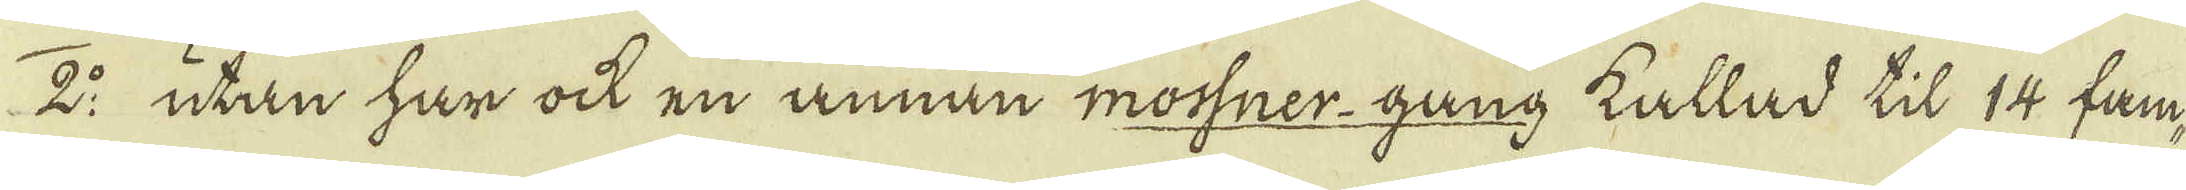2:o utan har ock en annan mossner-gång kallad til 14 fam-
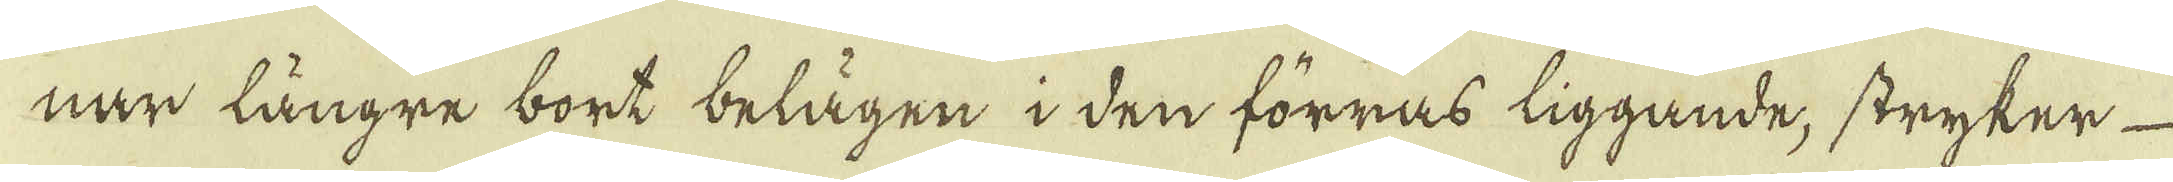nar längre bort belägen i den förras liggande, stryker
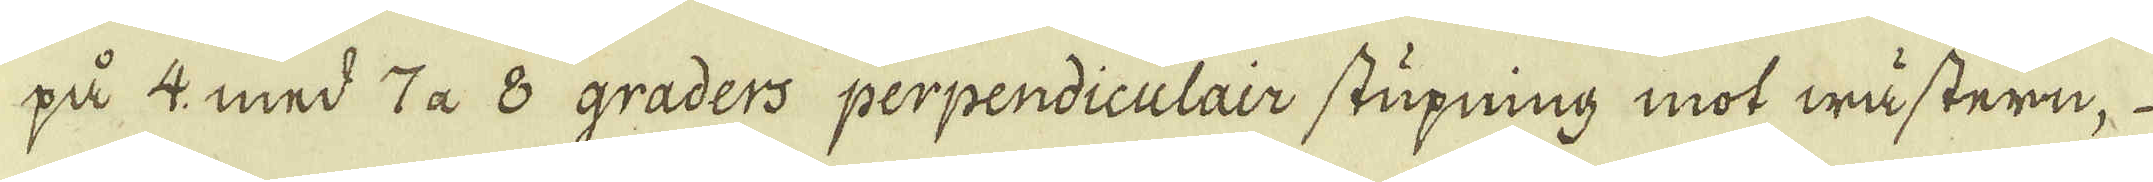på 4 med ta 8 graders perpendiculair stupning mot wästern,
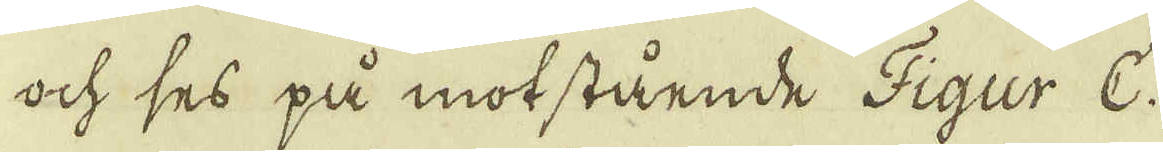ock ses på motstående Figur C.
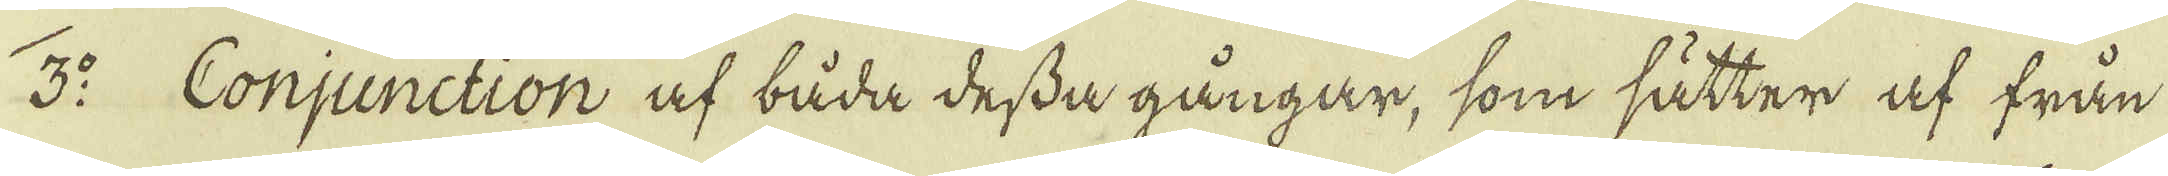3:o Conjunction af båda dessa gångar, som sätter af från
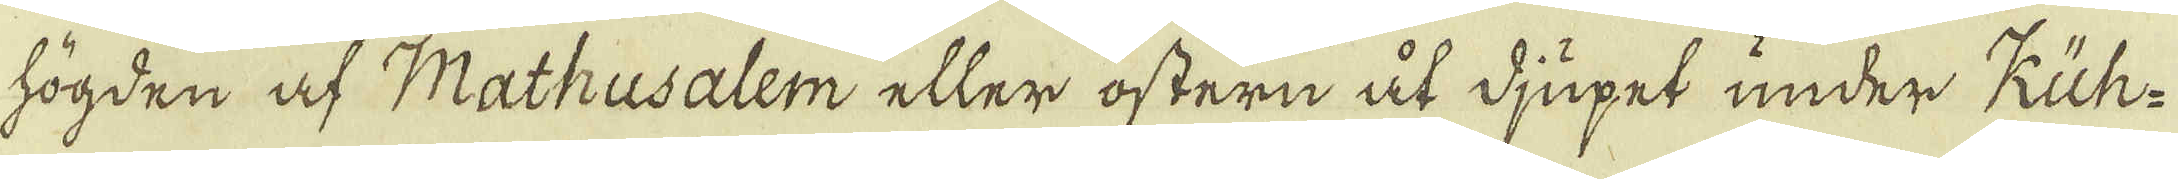högden af Mathusalem eller östern åt djupet under Kuh-
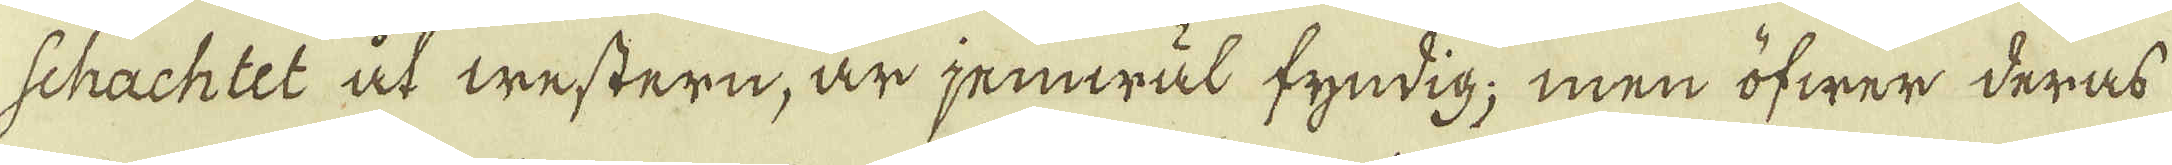schachtet at western, är jemwäl fyndig; men öfwer deras
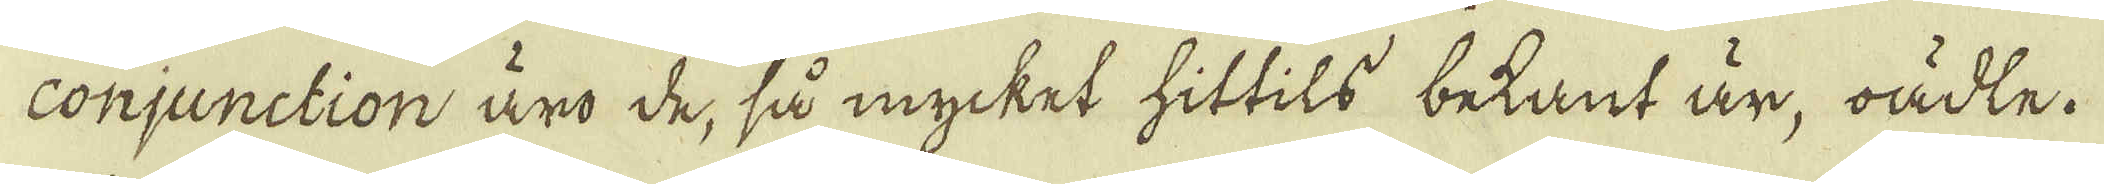conjunction äro de, så mycket hittils betant är, oädle.
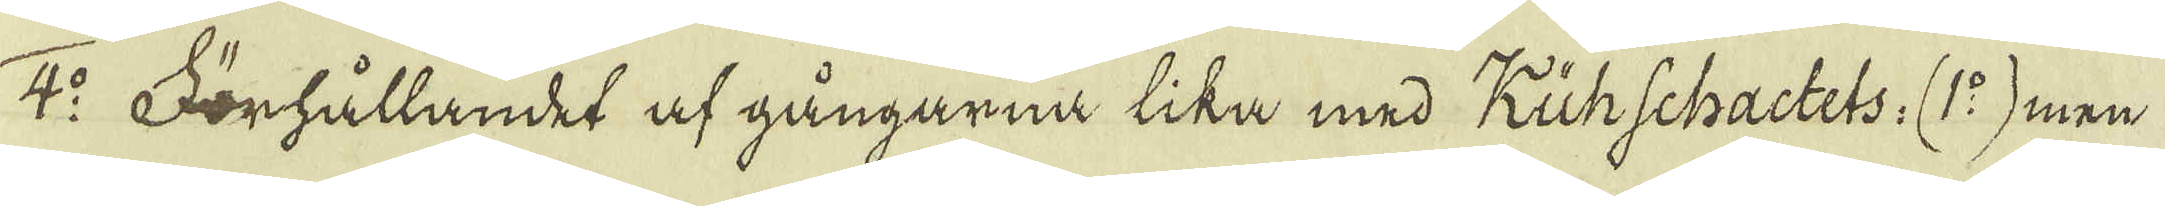4:o Förhållandet af gångarna lika med Kühschactets. (1:o) men
